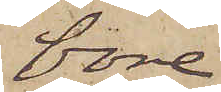vore
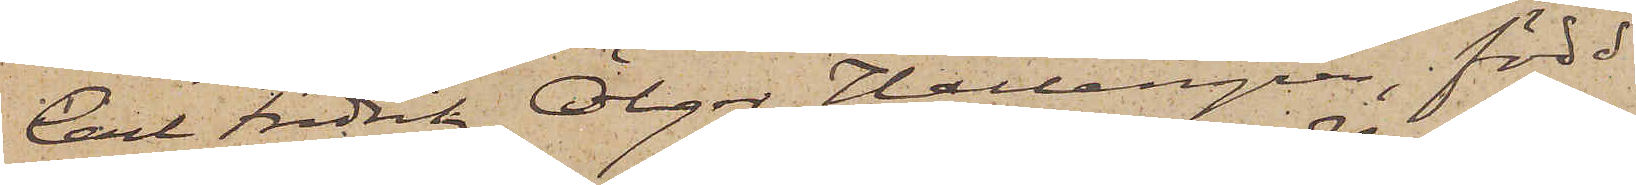Carl Fredrik Ölger Hallengren, född
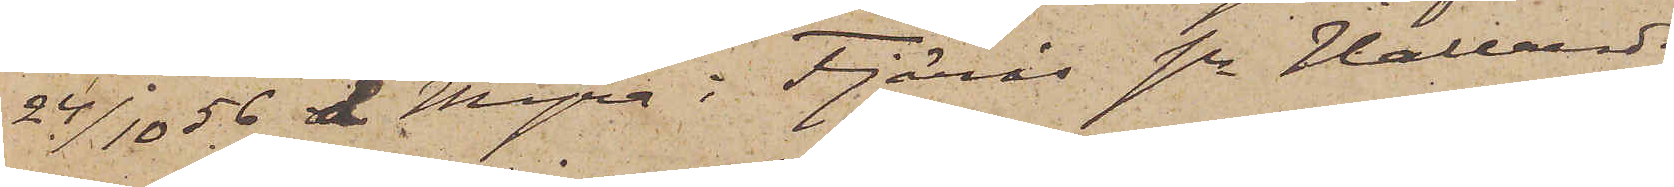24/10 56 å Myra i Fjärås sn Hallands
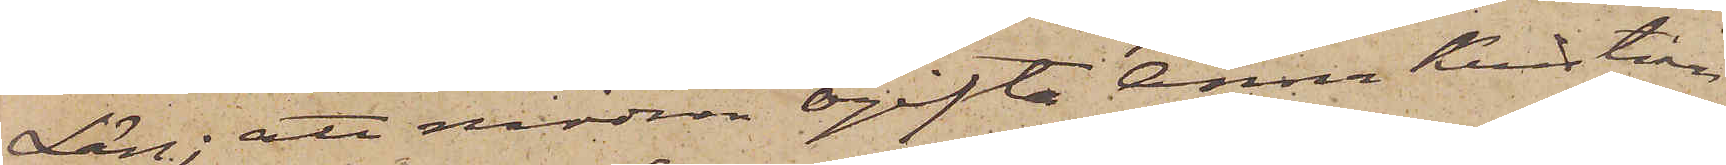Län; att modren ogifta Anna Kristina
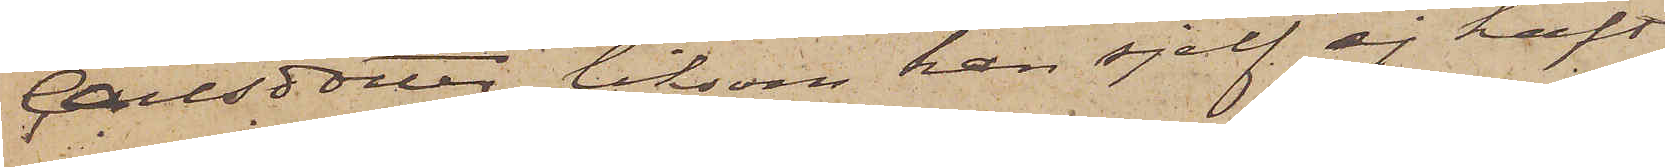Carlsdotter liksom han sjelf ej haft
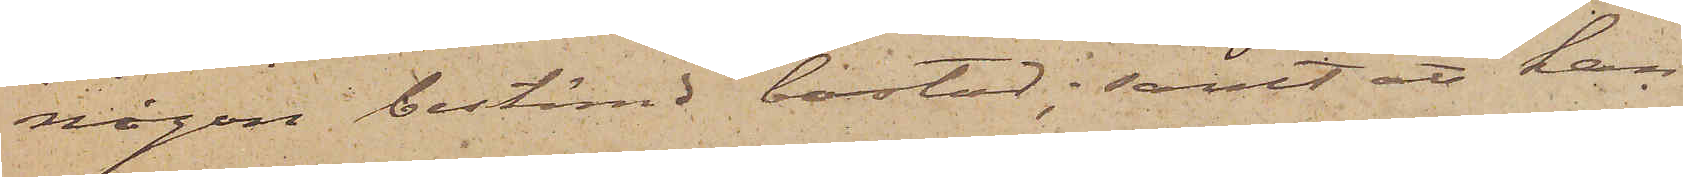någon bestämd bostad; samt att han
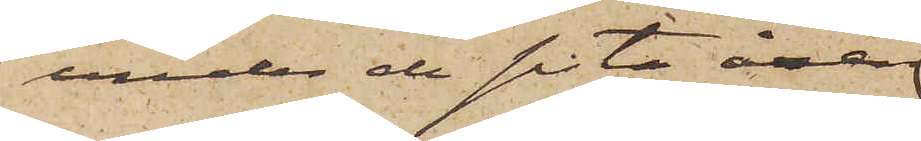under de sista åren
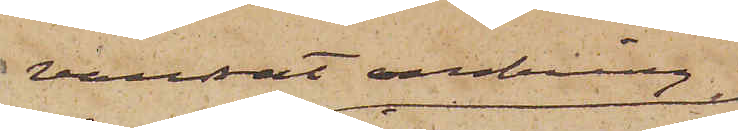vandrat omkring
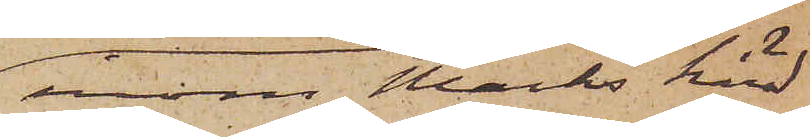inom Marks härad
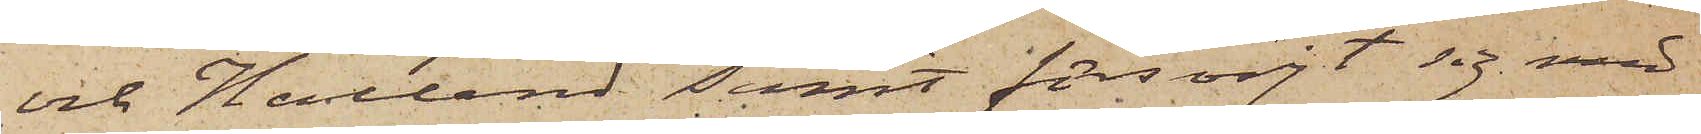och Halland samt försörjt sig med
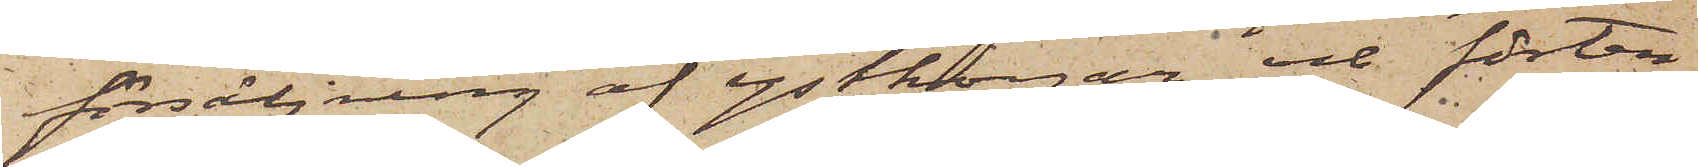försäljning af ystkorgar och förten¬
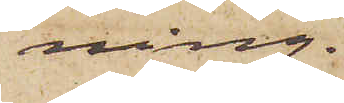ning.
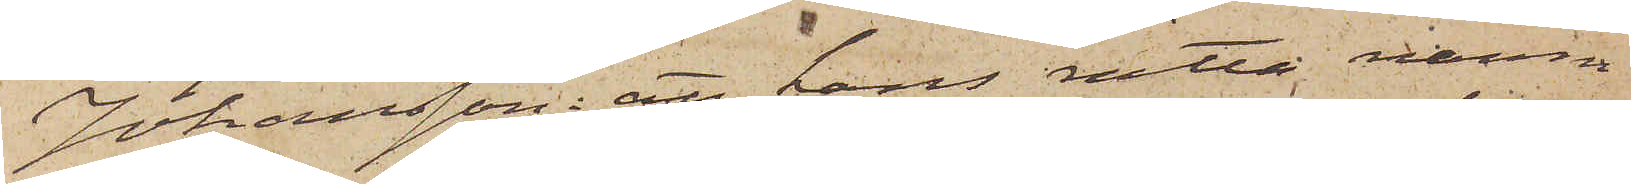Johansson: att hans rätta namn
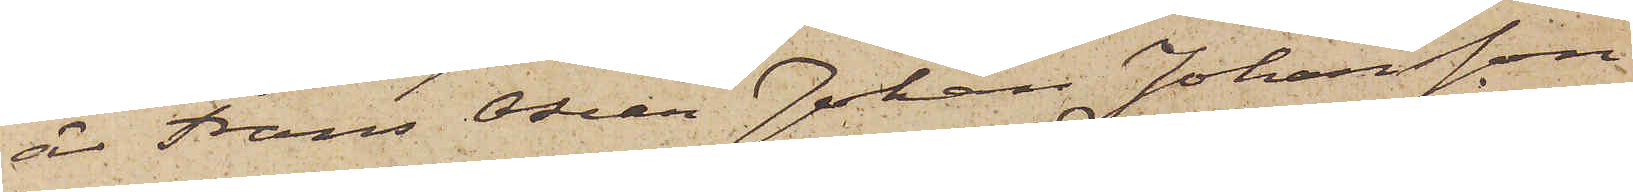är Frans Oscar Johan Johansson
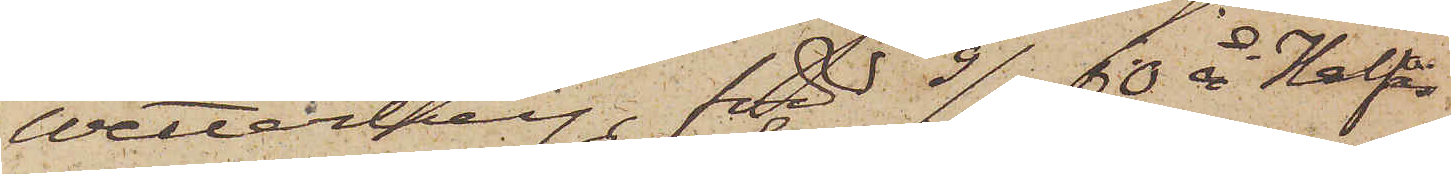Wetterberg född 9/5 60 å Kalfås
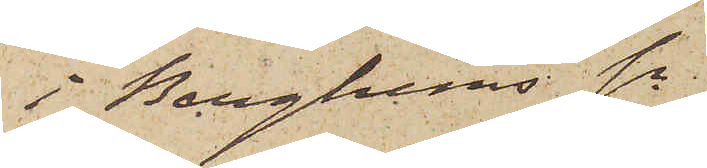i Berghems sn
